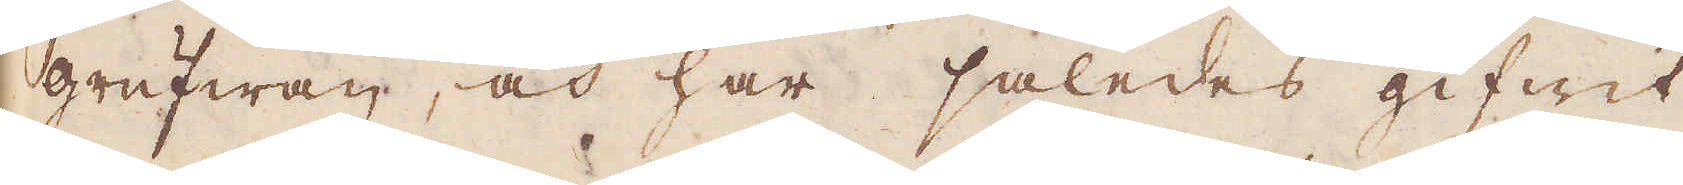grufwan, och har således gifwit
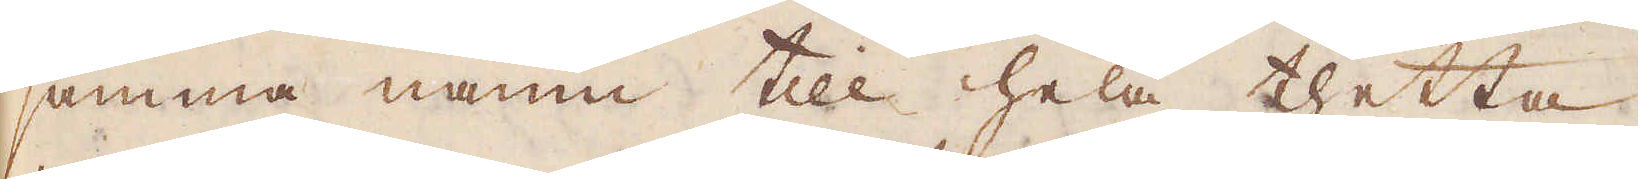samma namn till hela thetta.
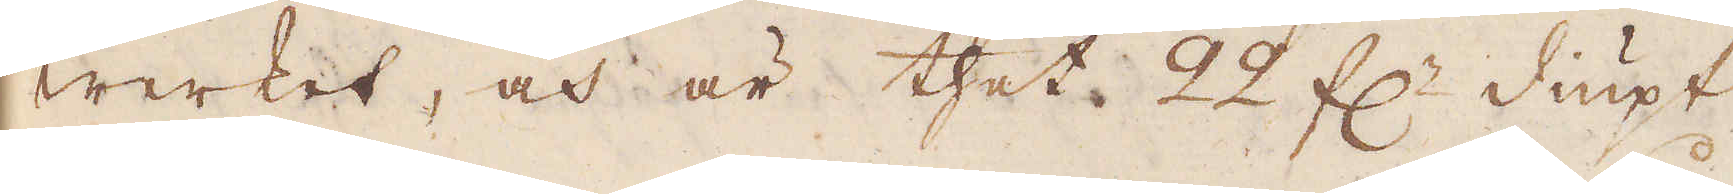werket, och är thet 22 f:r diupt
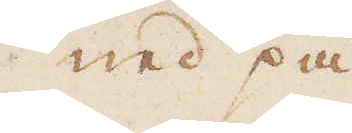ned på
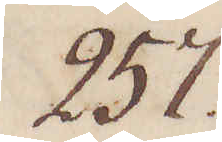257.
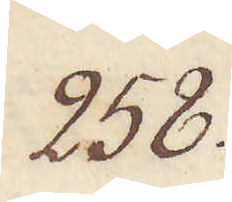258.
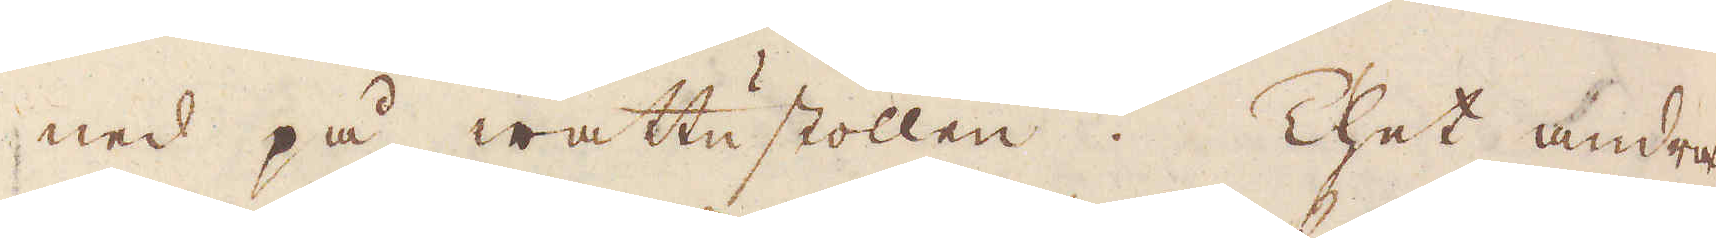ned på wattustollen. Thet andra
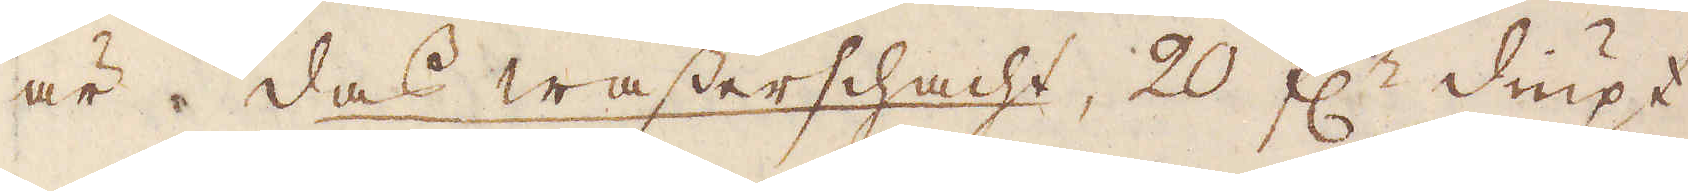är das wasserschacht, 20 f:r diupt
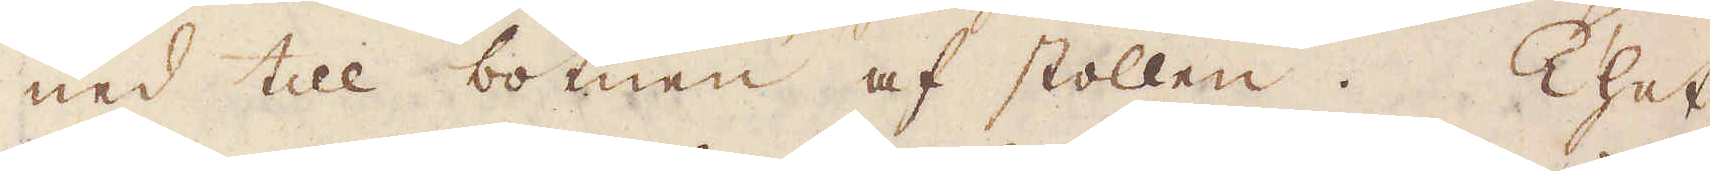ned till botnen af stollen. Thet
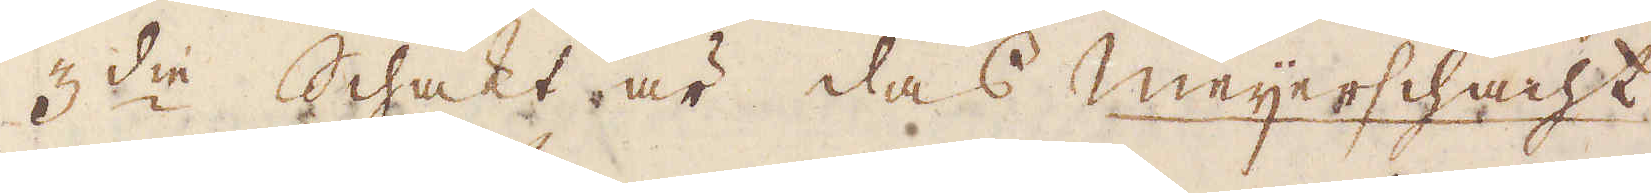3:die Schakt är das meijerschacht
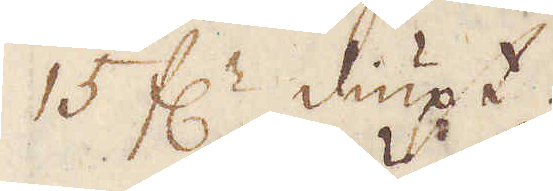15 f:r diupt.
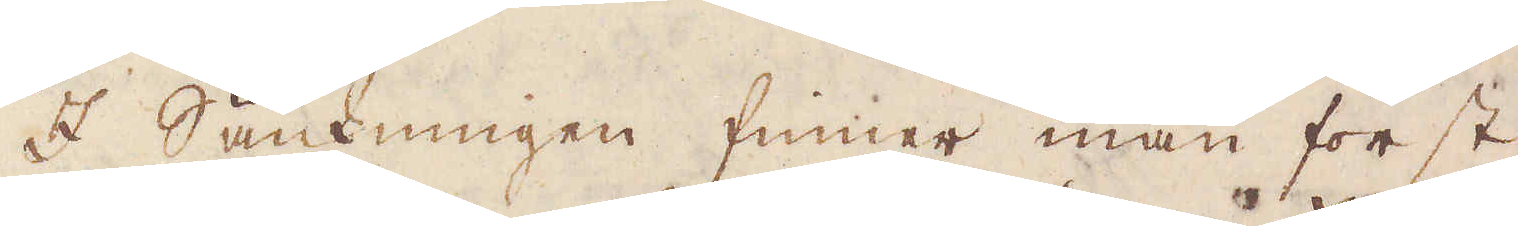I Sänkningen finner man först
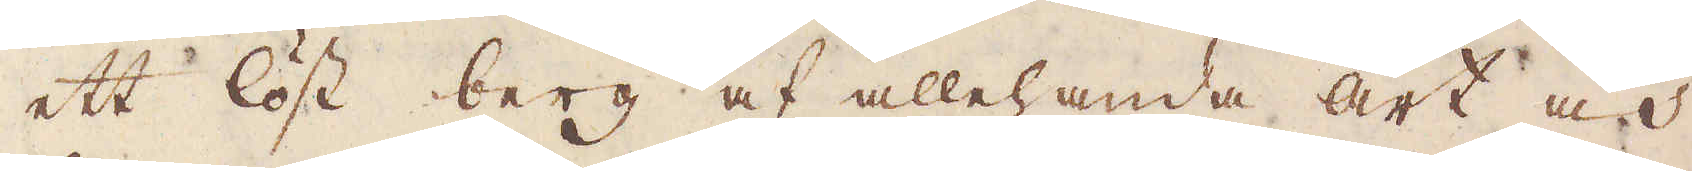ett löst berg af allehanda art och
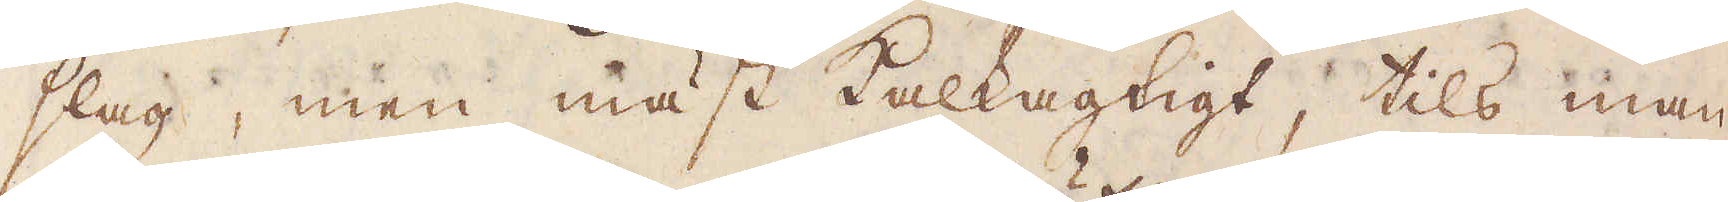slag, men mäst kalkagtigt, tils man
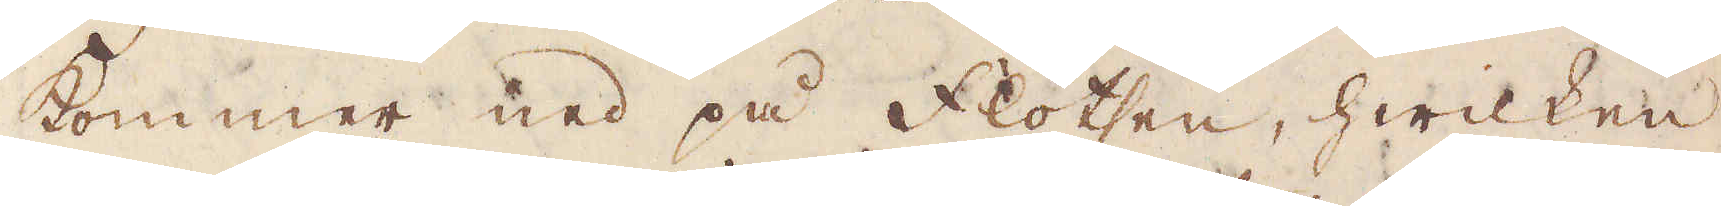kommer ned på Flötsen, hwilken
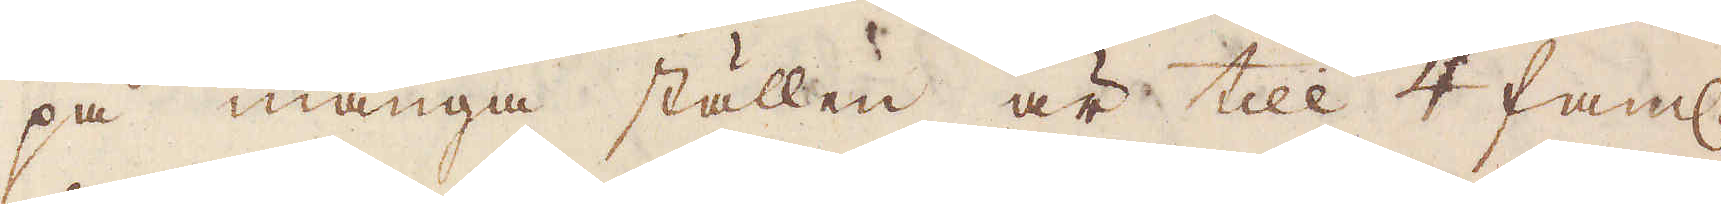på många ställen är till 4 fam:r
